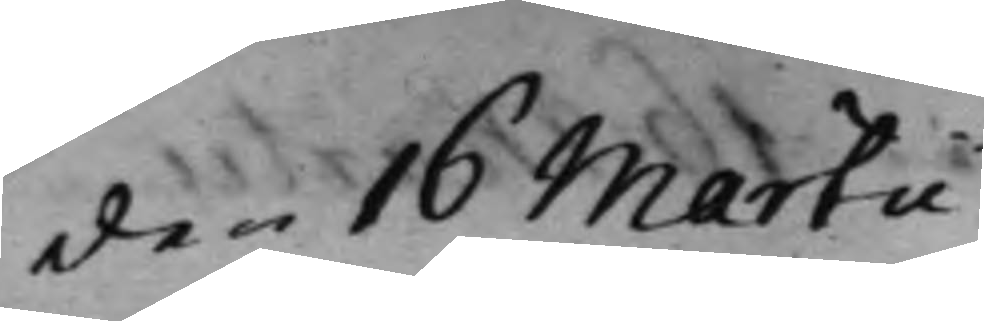den 16 Martii
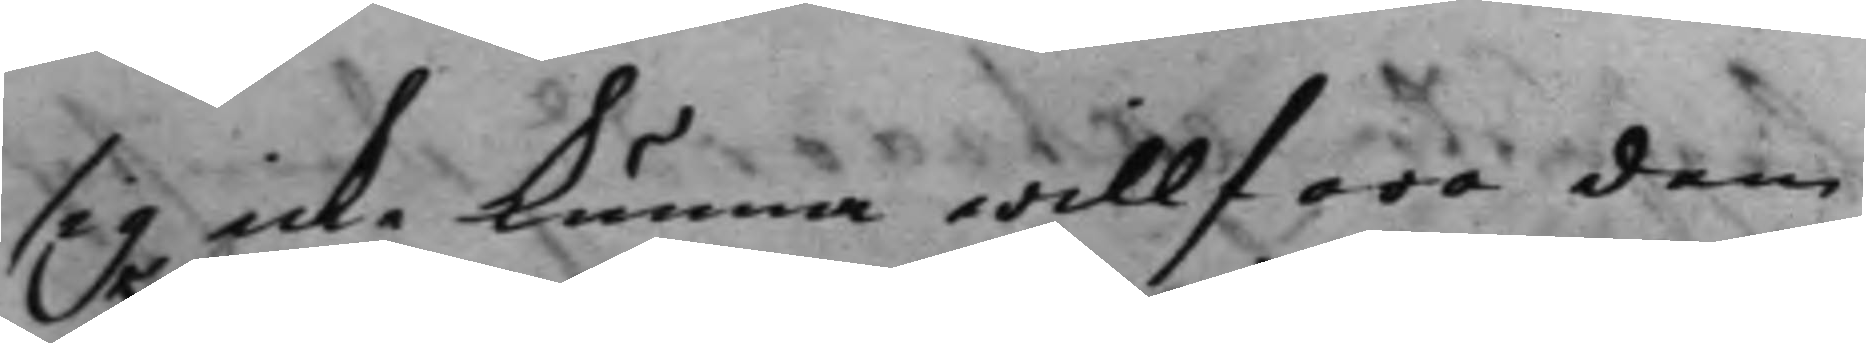sig icke kunna willfara dem
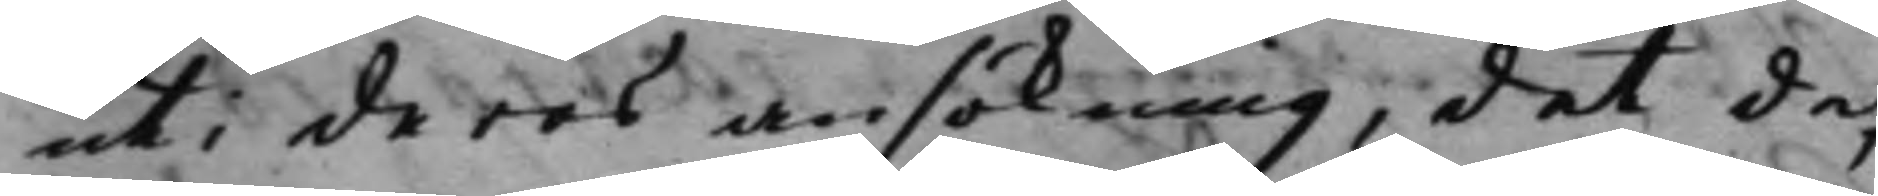uti deras ansökning, det de,
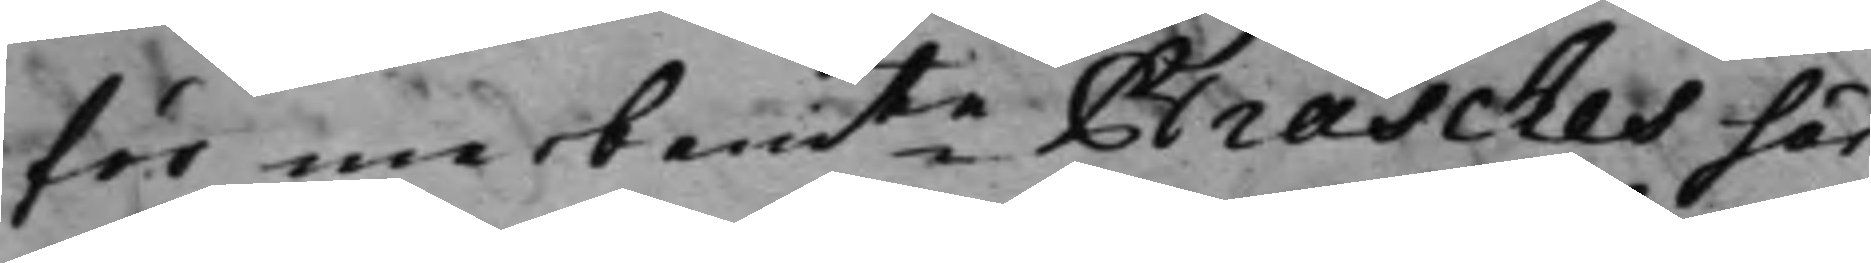för merbemte Brasches här
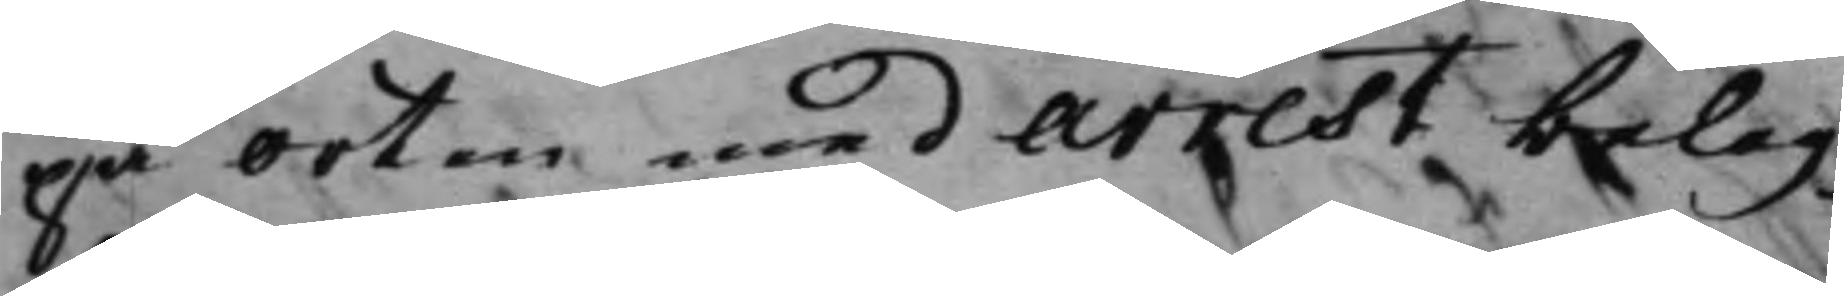på orten med arrest belag¬
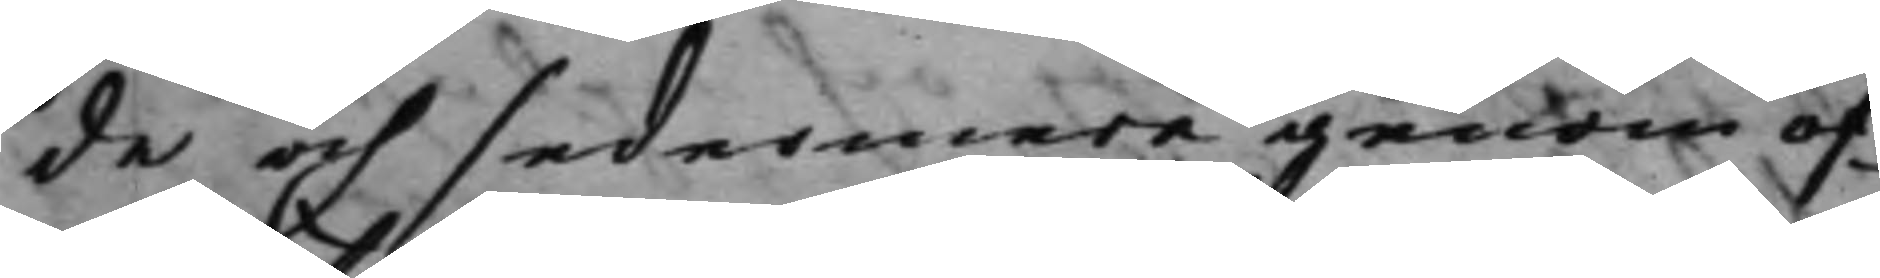de och sedermare genom of¬
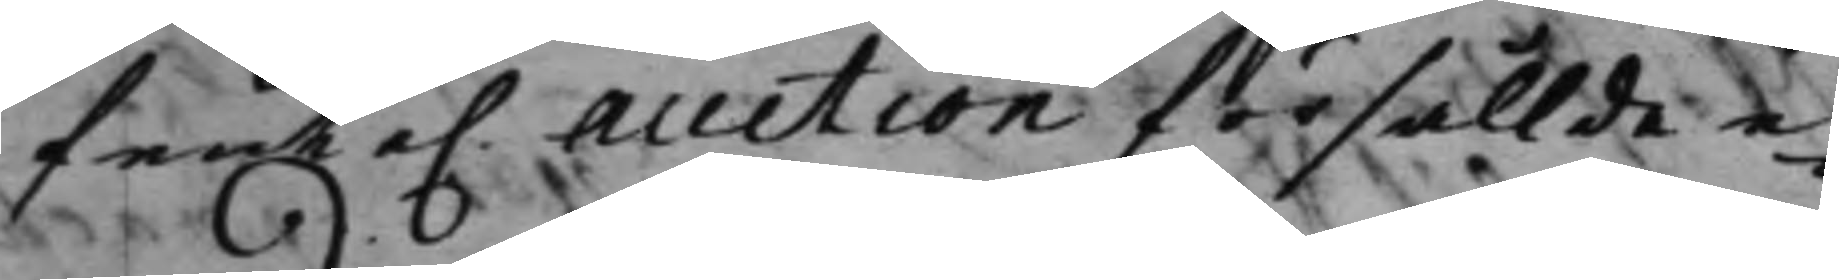fente. Auction försållde e¬
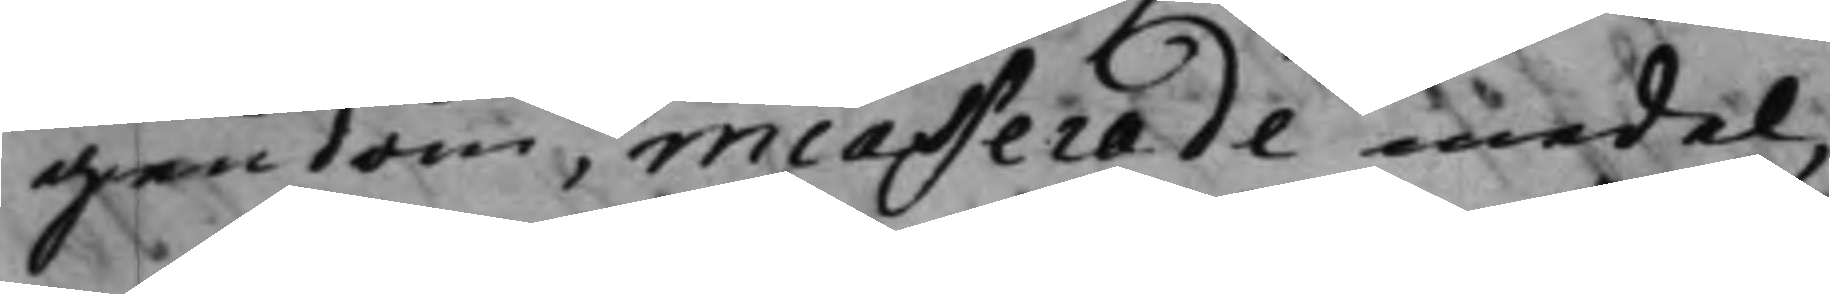gendom incasserade medel,
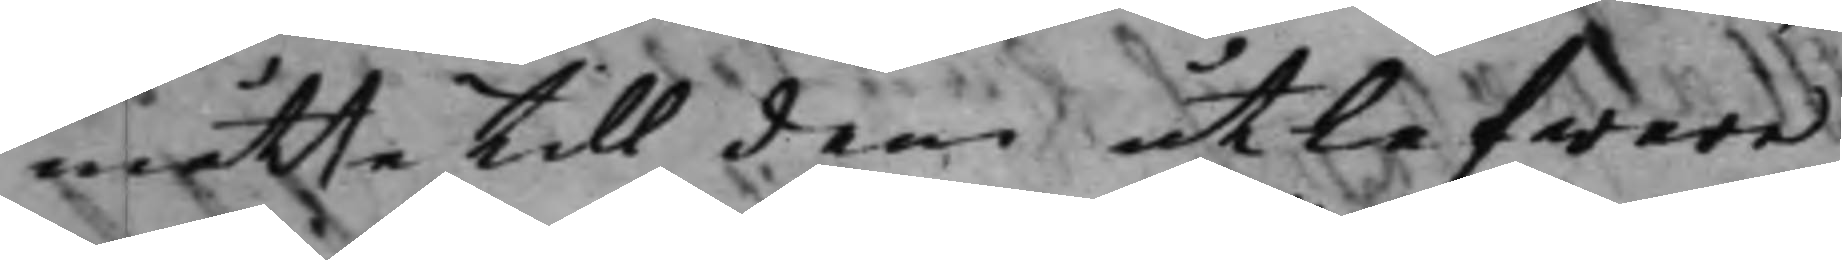måtte till dem utlefwere¬
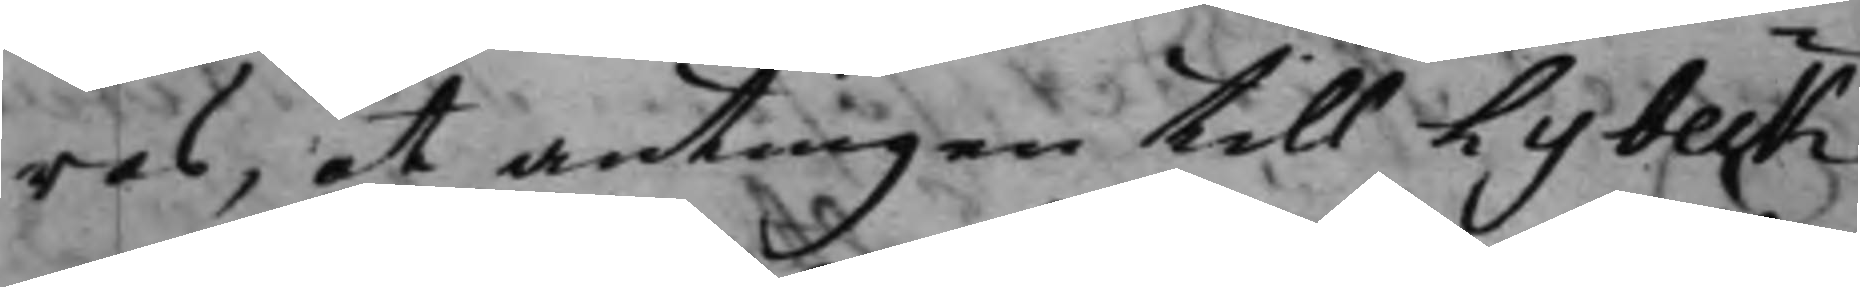ras, at antingen till Lybeck
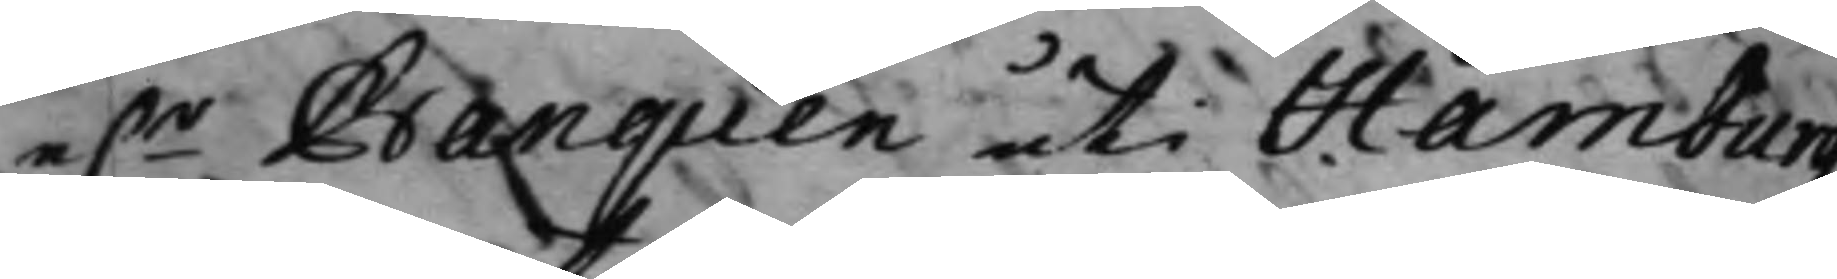e.r Banquen uti Hamburg
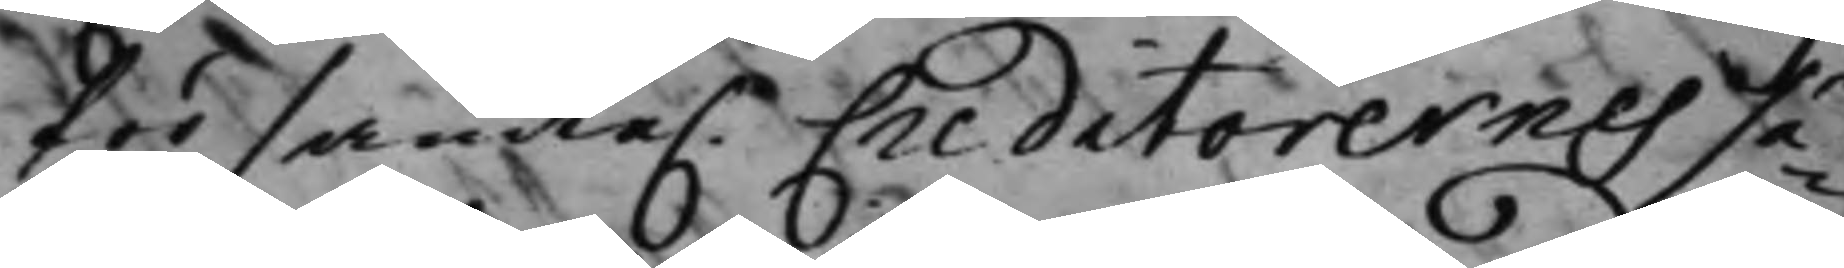för sante. Creditorernes sä¬
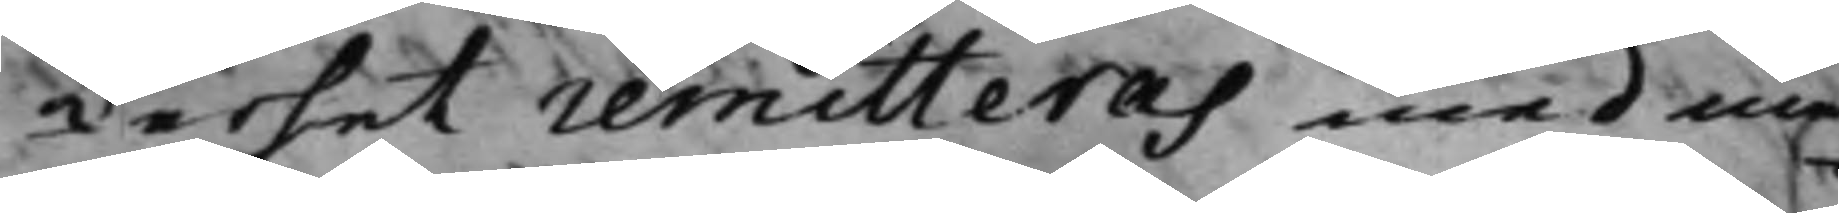kerhet remitteras med me¬
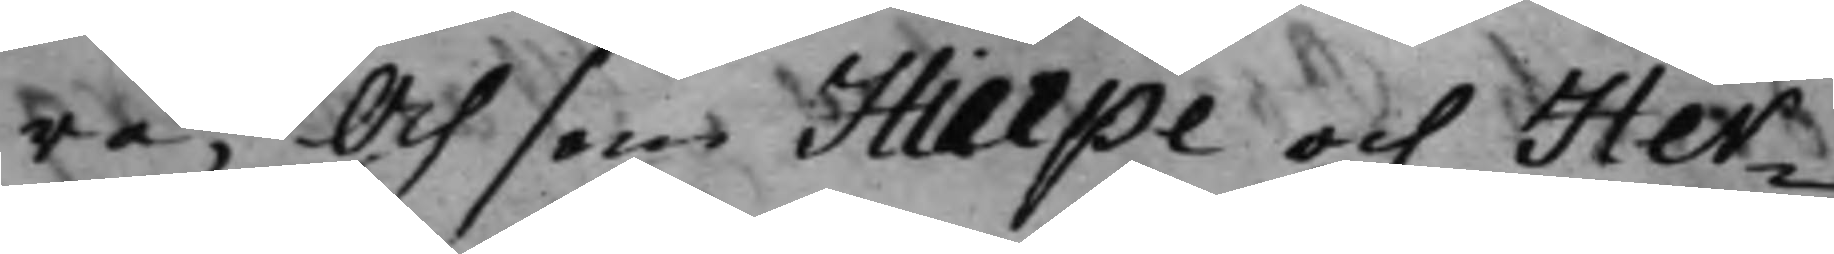ra; Och som Hierpe och Her¬
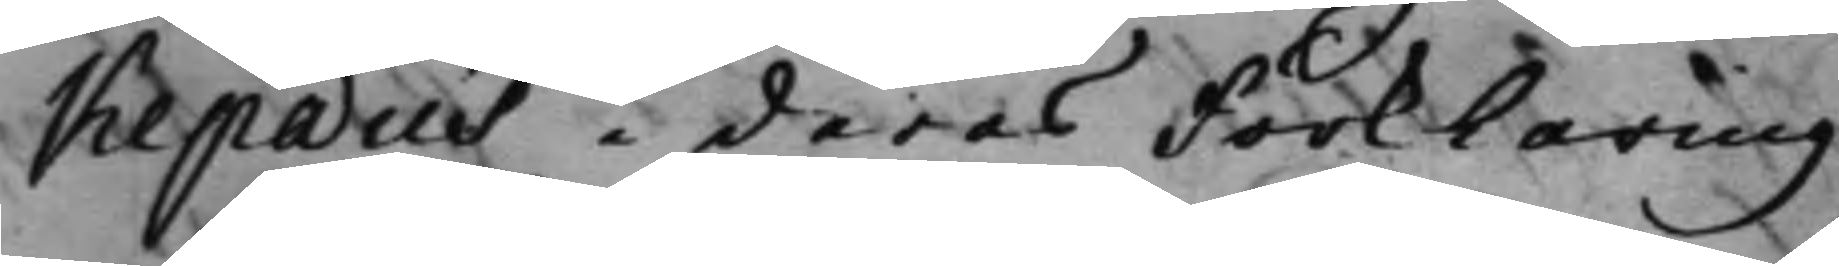kepæus i deras Förklaring
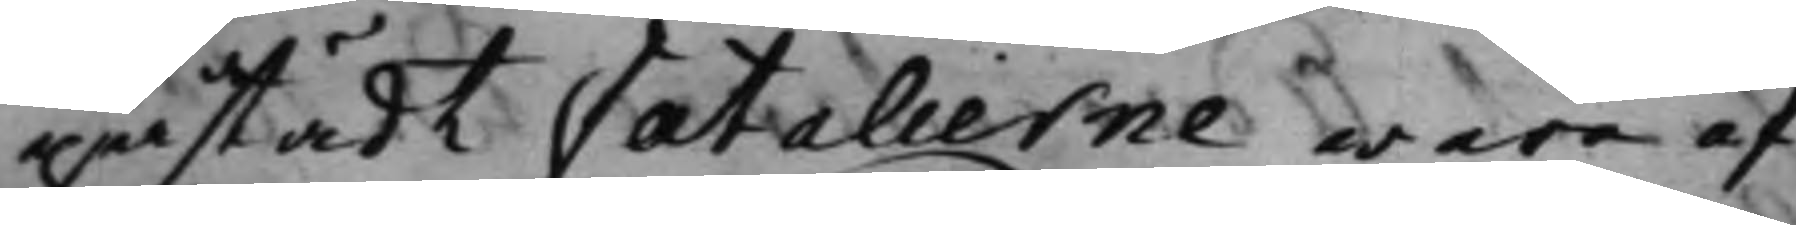påstådt Fatalierne wara af
